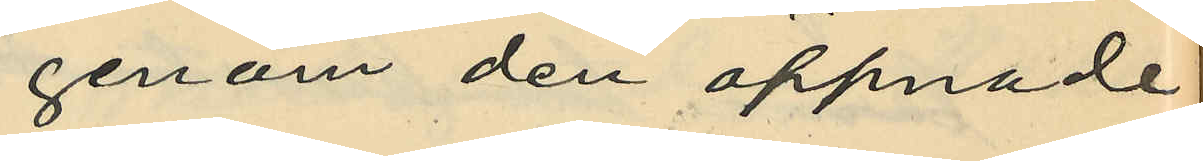genom den öppnade
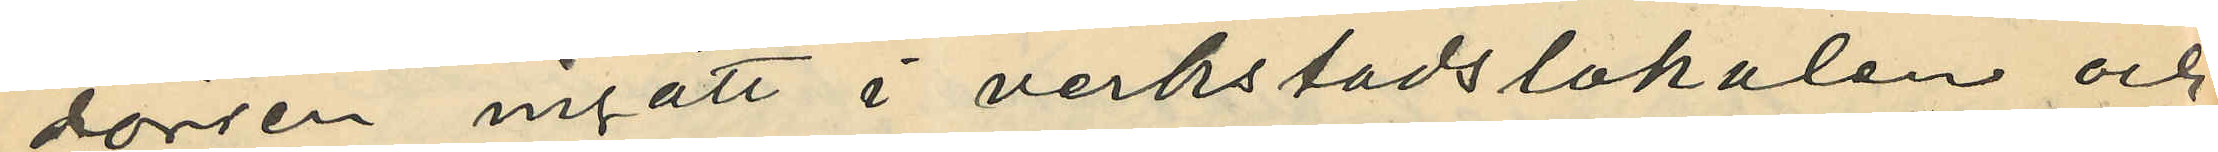dörren ingått i verkstadslokalen och
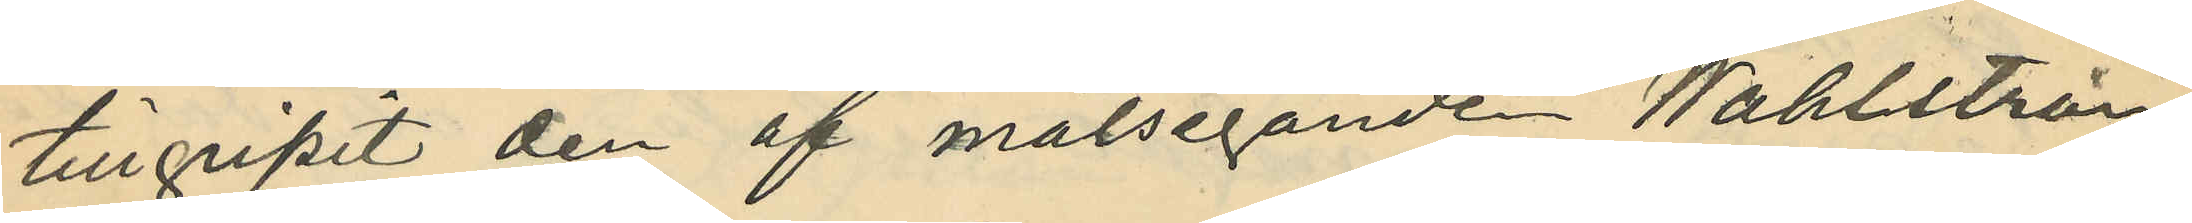tillgripit den af målseganden Wahlström
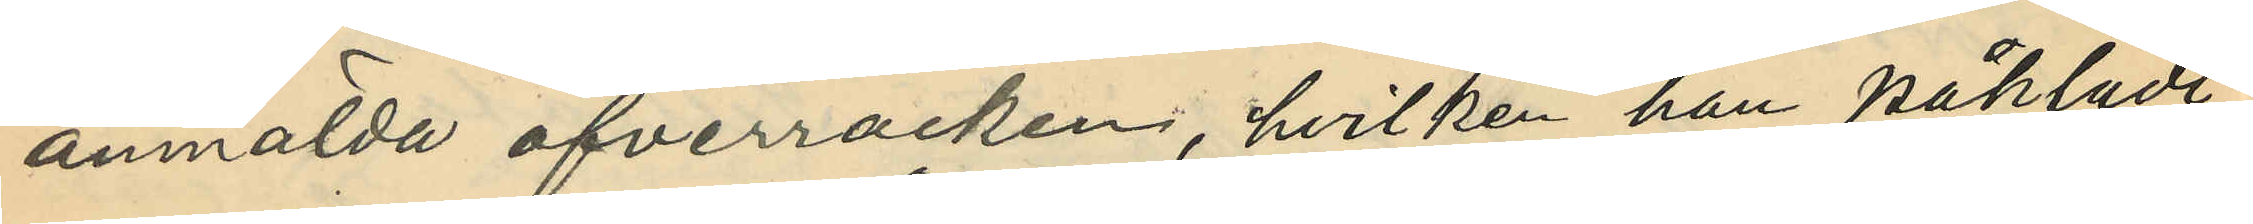anmälda öfverrocken, hvilken han påklädt
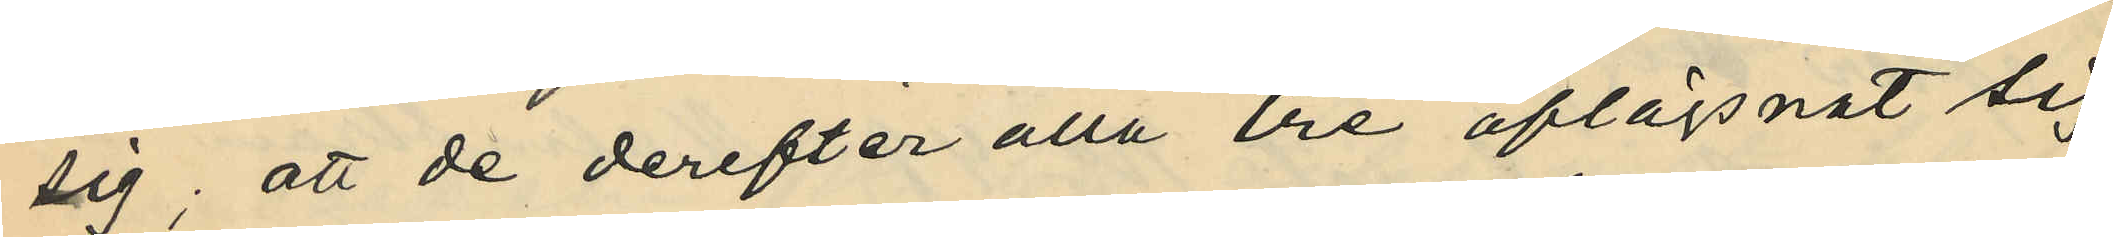sig; att de derefter alla tre aflägsnat sig
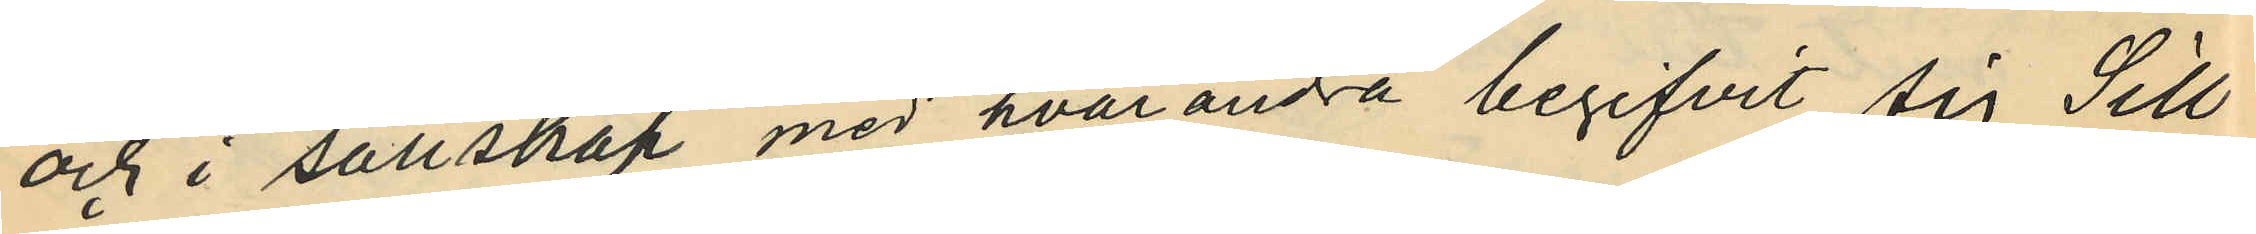och i sällskap med hvarandra begifvit sig Sill¬
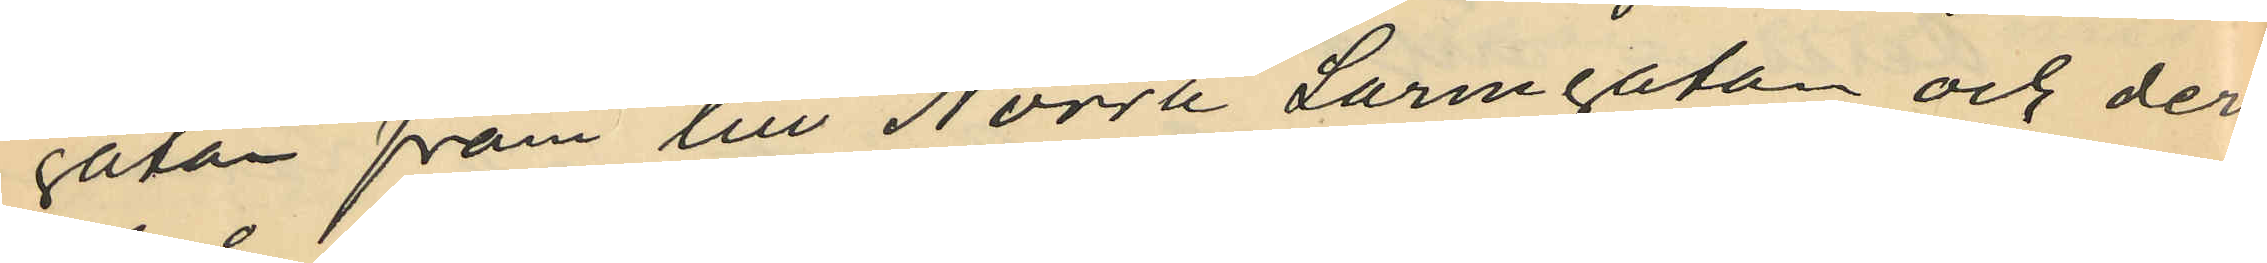gatan fram till Norra Larmgatan och deri¬
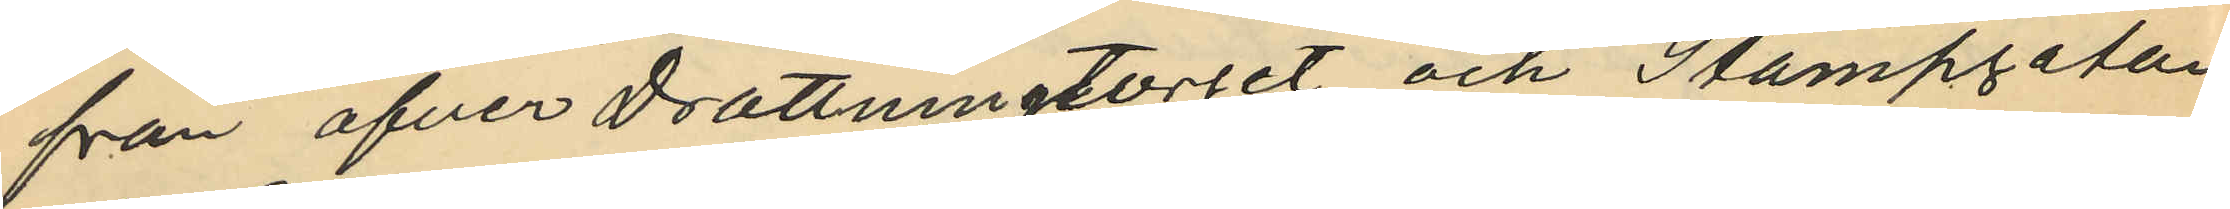från öfver Drottningtorget och Stampgatan
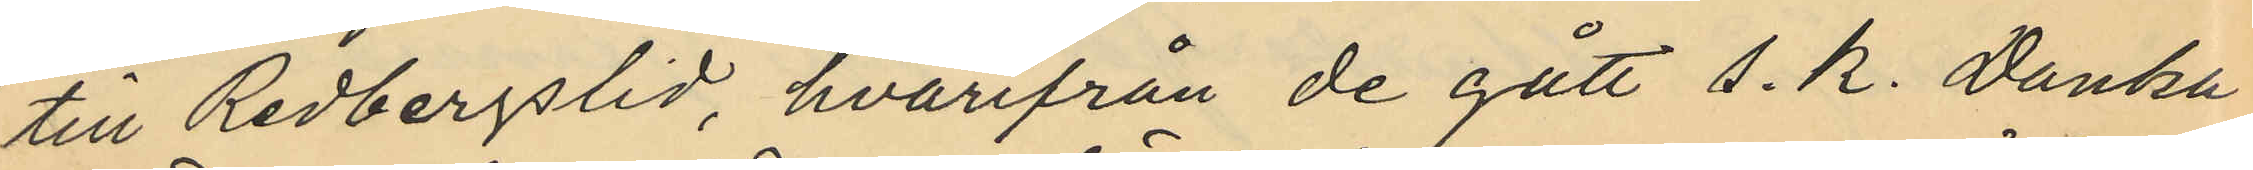till Redbergslid, hvarifrån de gått s.k. Danska
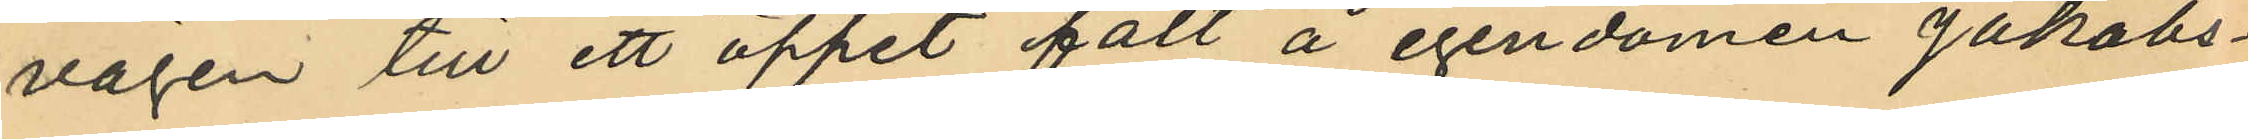vägen till ett öppet fält å egendomen Jakobs¬
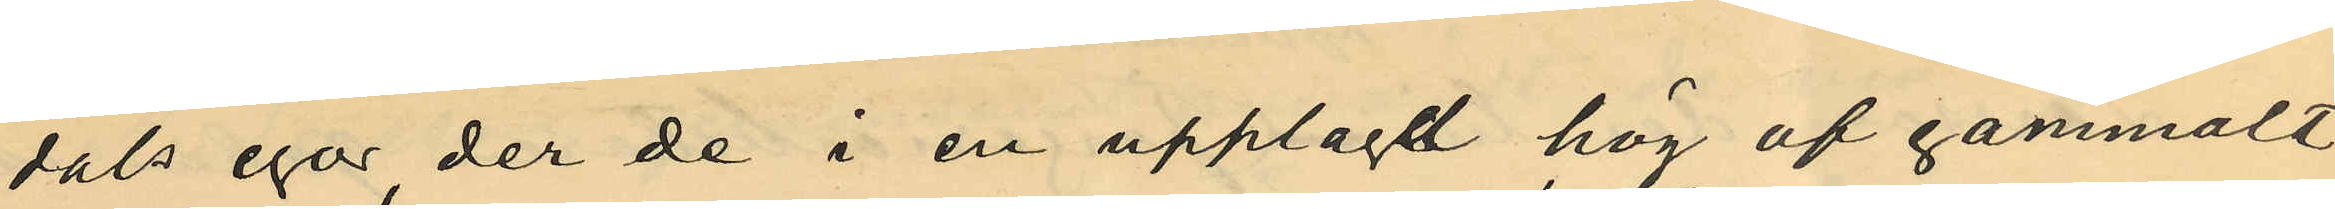dals egor, der de i en upplagdt hög af gammalt
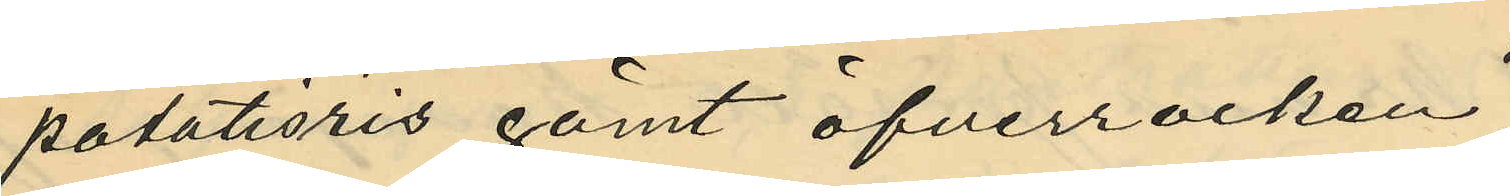potatisris gömt öfverrocken
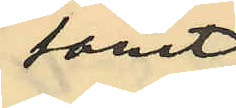först
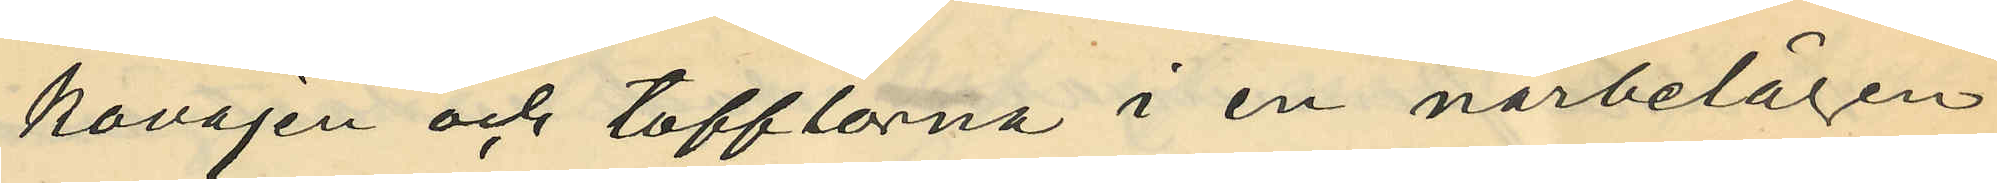kavajen och tofflorna i en närbelägen
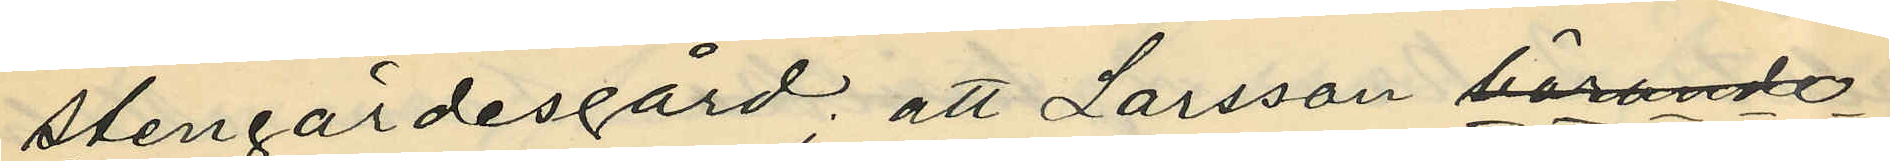stengärdesgård, att Larsson bärande
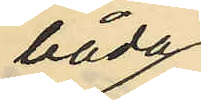båda
